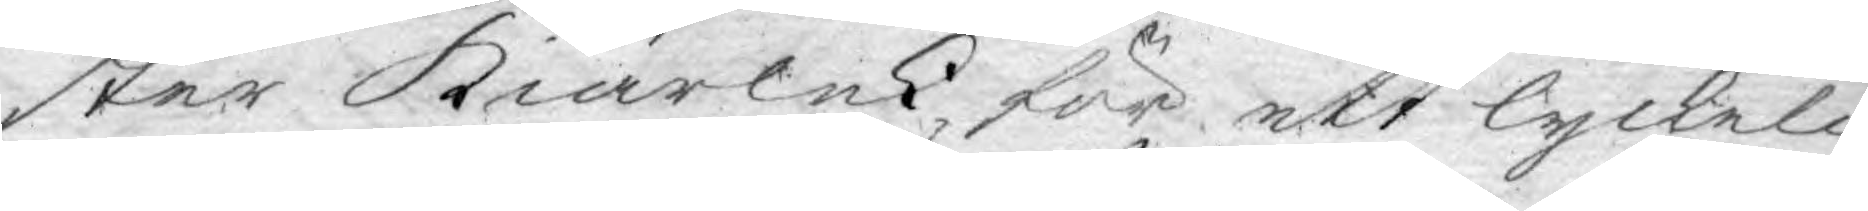ster kiärlek för ett lyckeli¬
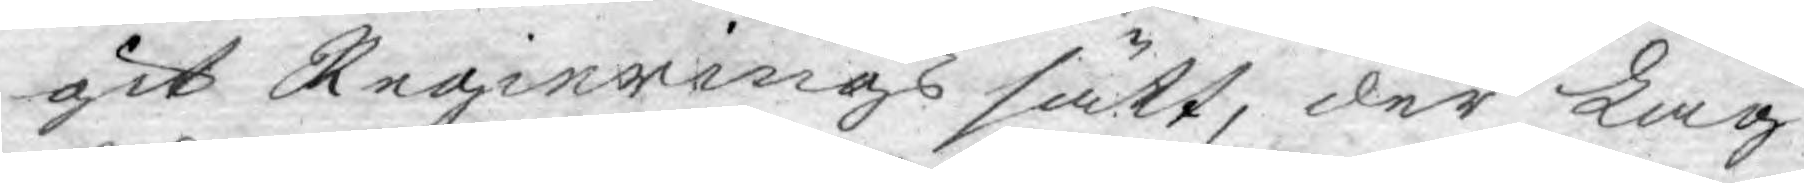git Regierings sätt, der Lag¬
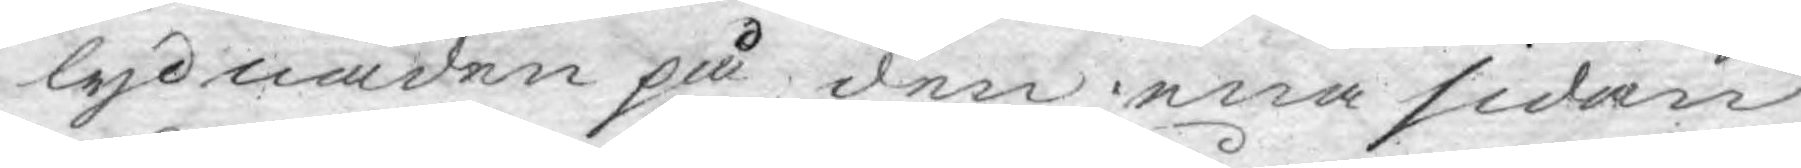lydnaden på den ena sidan
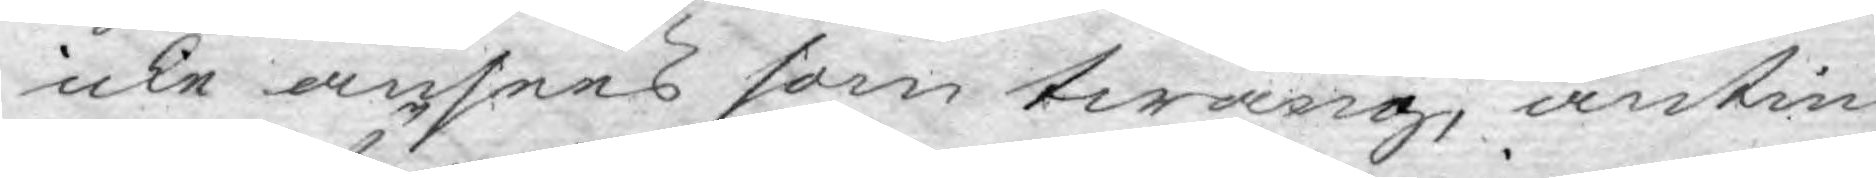icke ansees som twång, antin¬
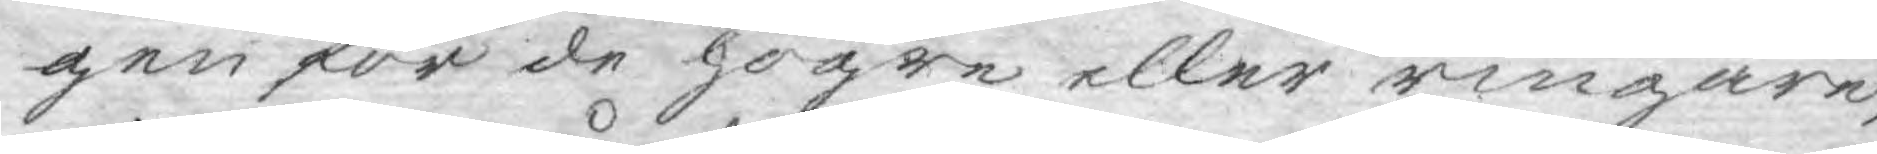gen för de högre eller ringare,
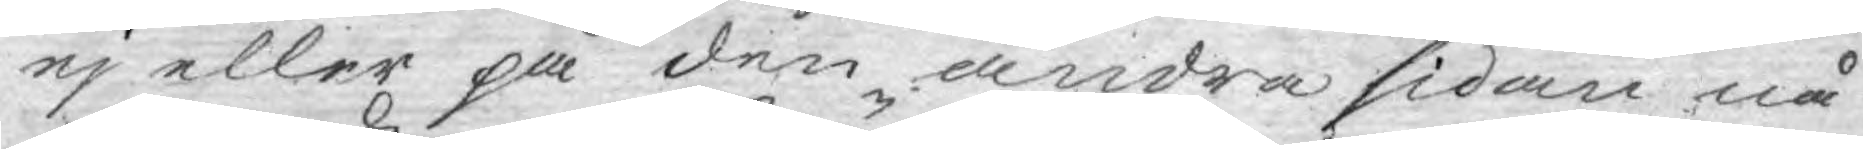ej eller på den andra sidan nå¬
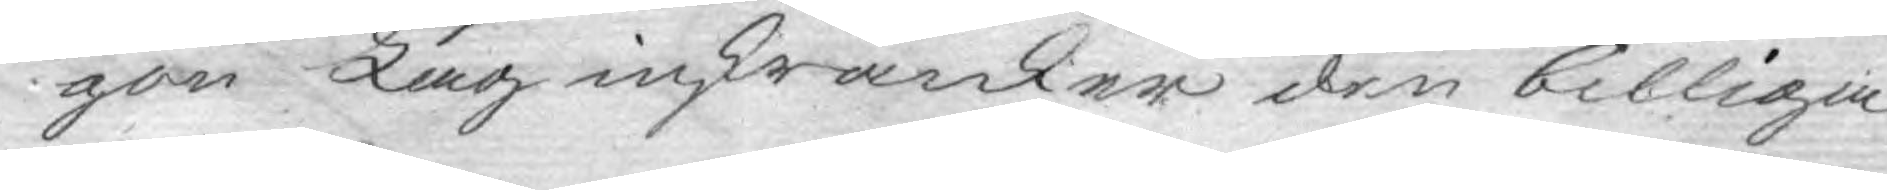gon Lag inskränker den billiga
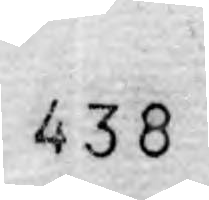438
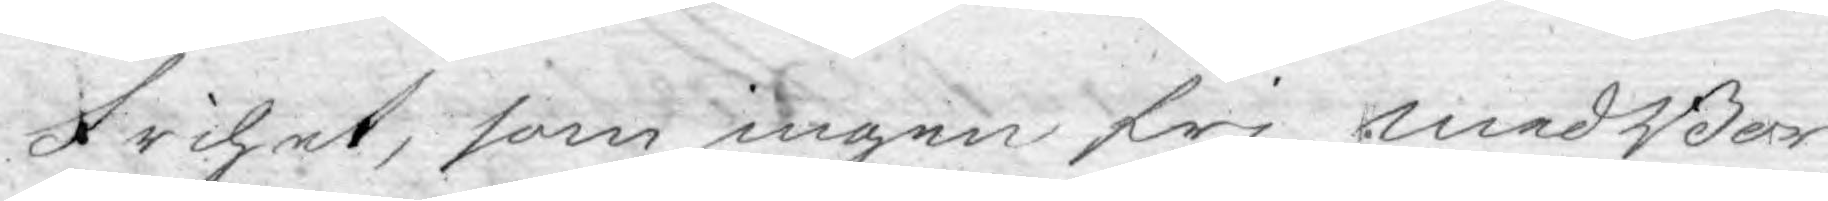frihet, som ingen fri medBor¬
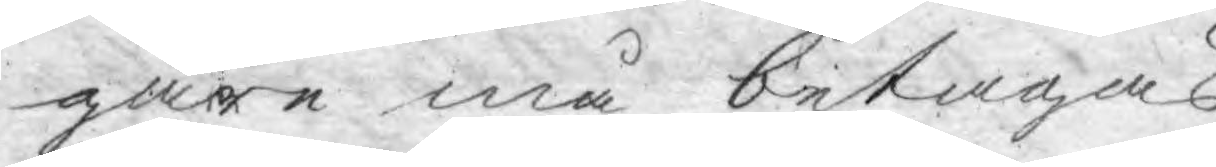gare må betagas.
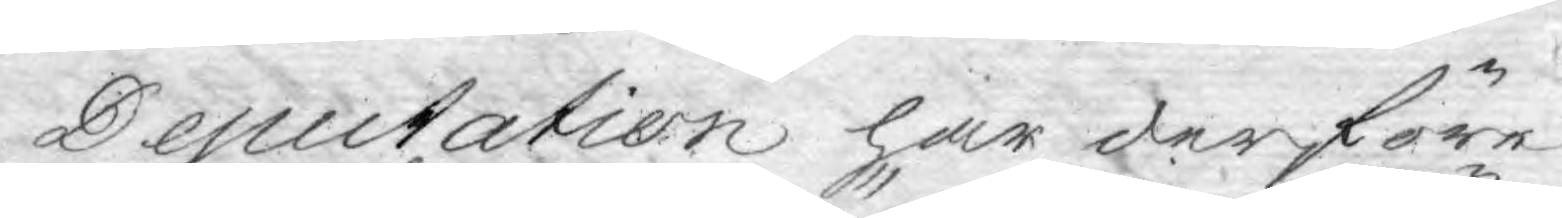Deputation har derföre
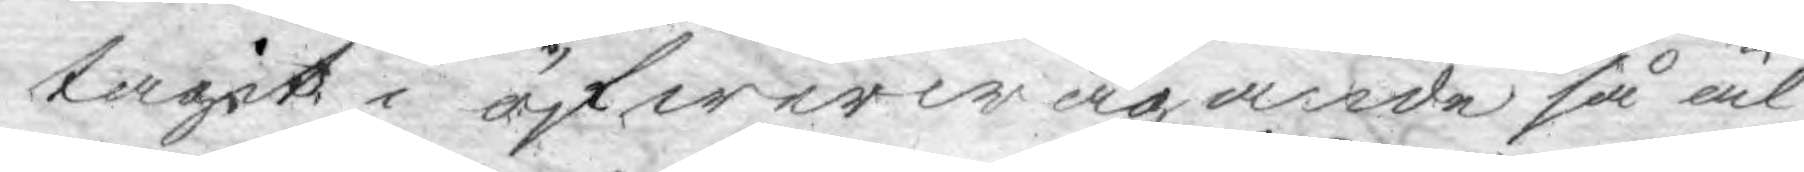tagit i öfwerwägande så äl¬
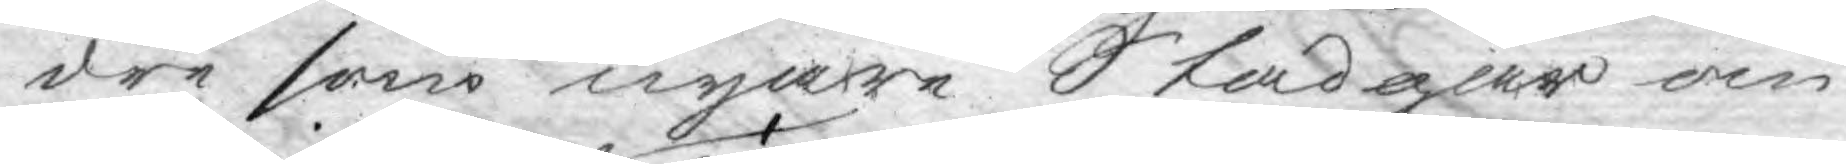dre som nyare Stadgar om
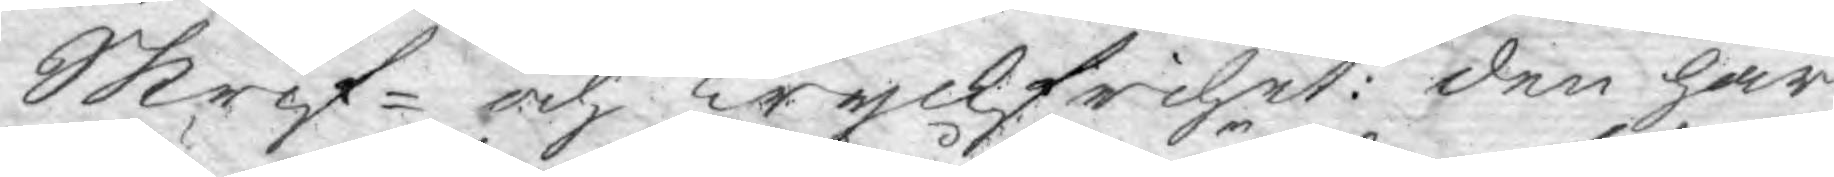Skrif- och Tryckfrihet: den har
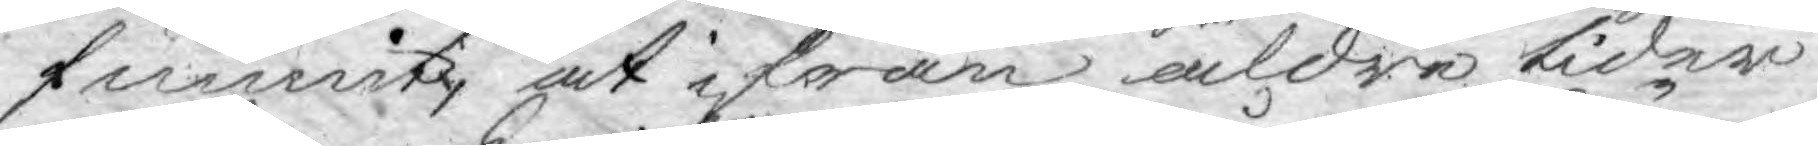funnit, at ifrån äldre tider
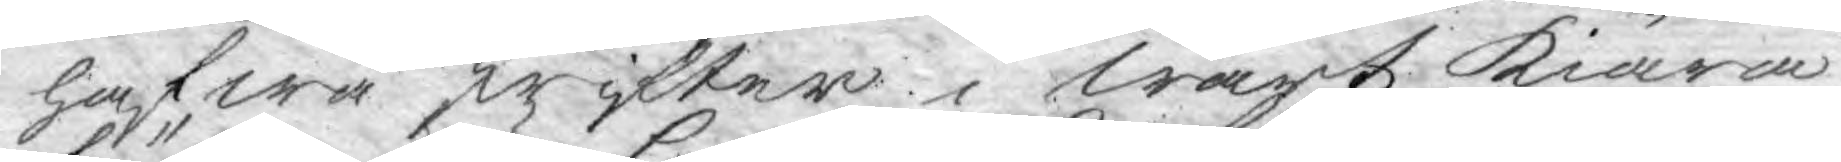hafwa skrifter i Wårt Kiära
